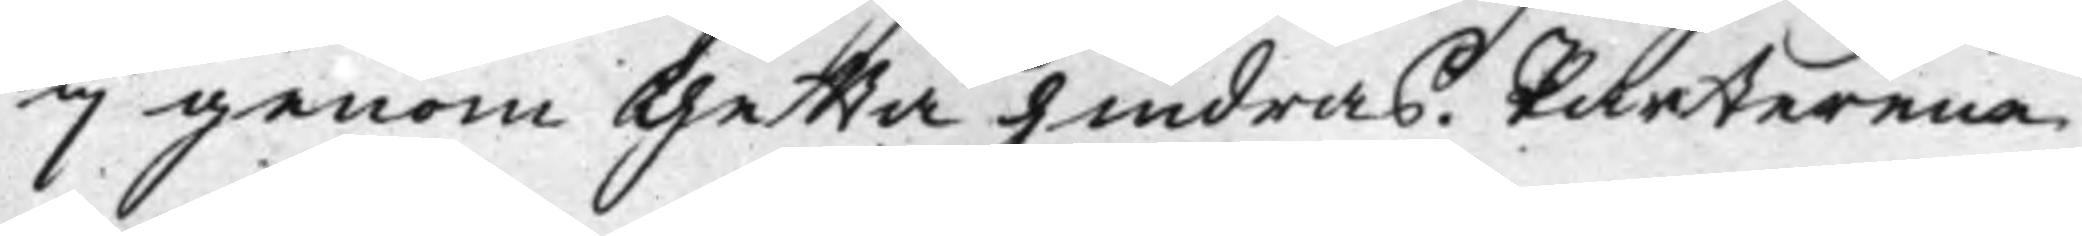ej genom thetta hindras. Parterena
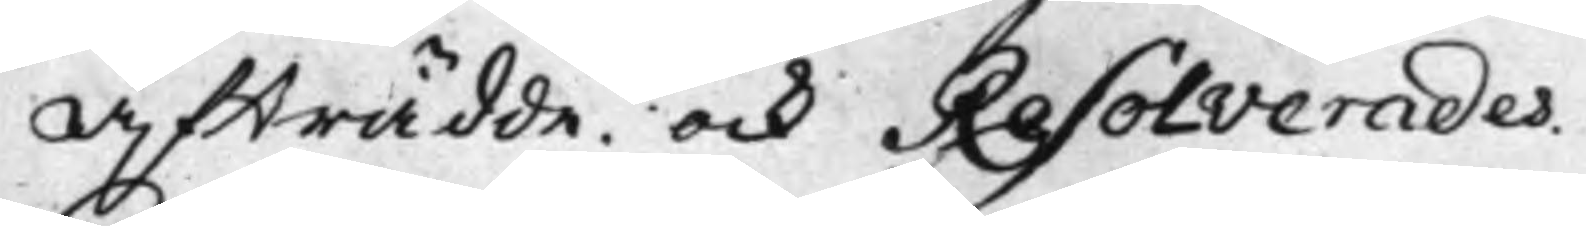Afträdde. ock Resolverades.
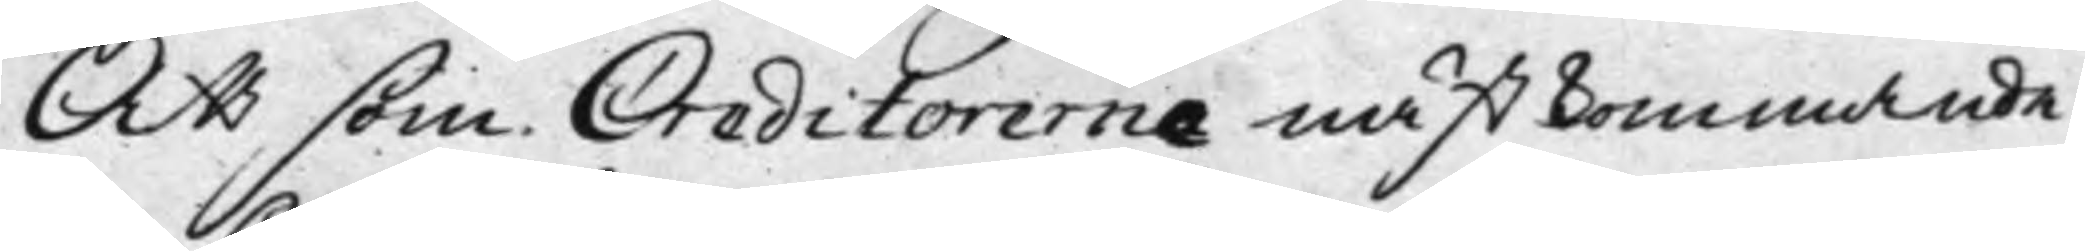Att som Creditorerne nästkommande
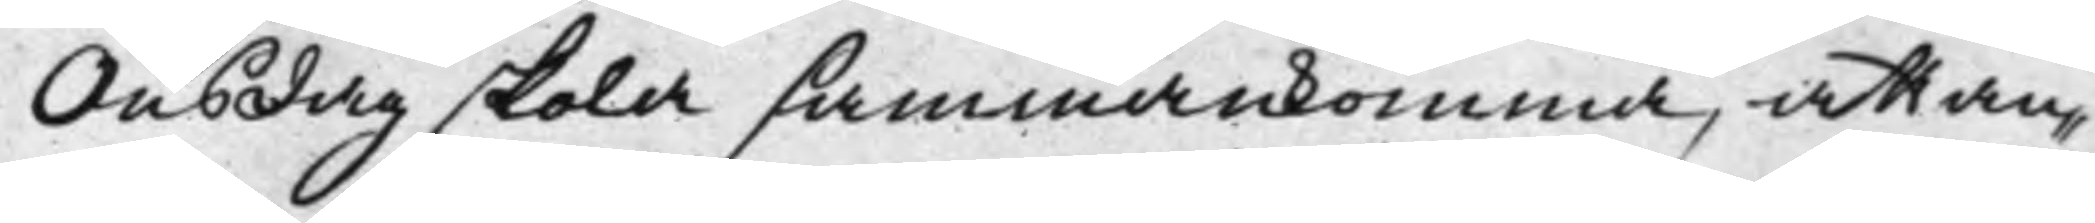Onsdag skola sammankomma, att an¬
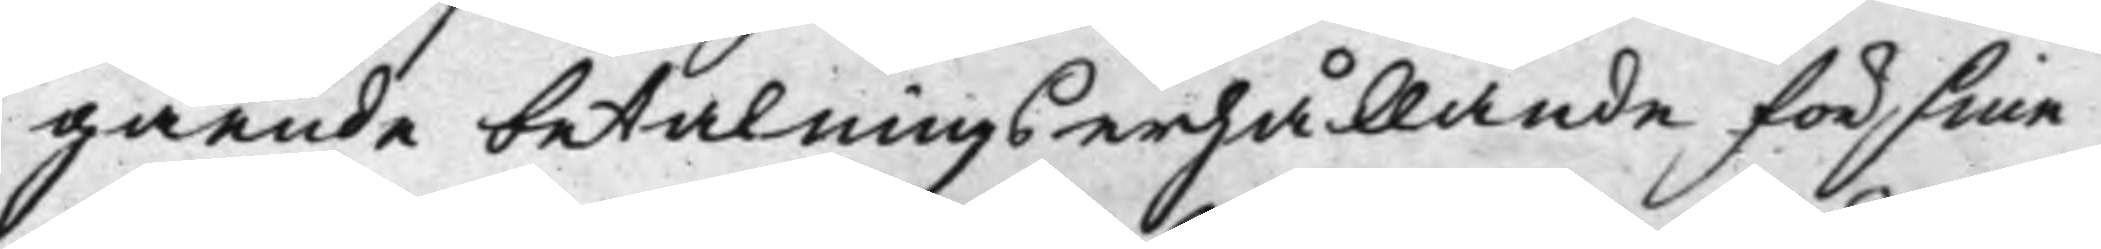gående betalnings erhållande för sine
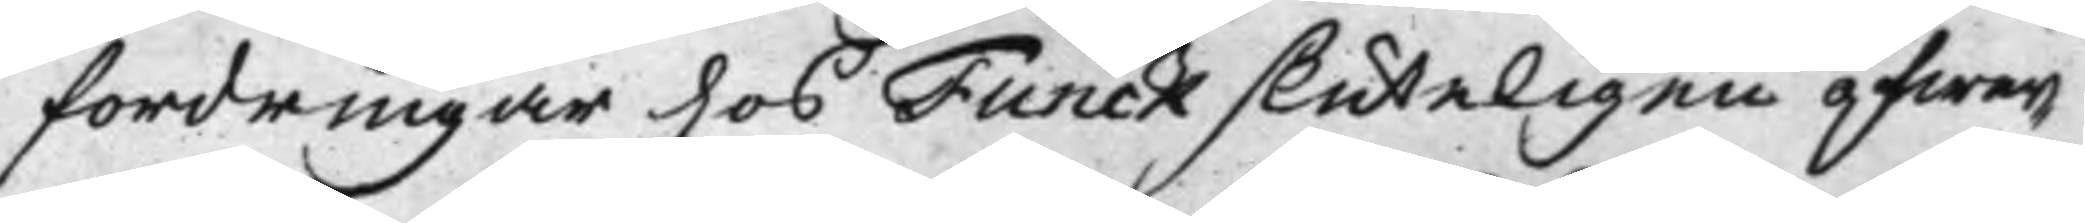fordringar hos Funck sluteligen öfwer¬
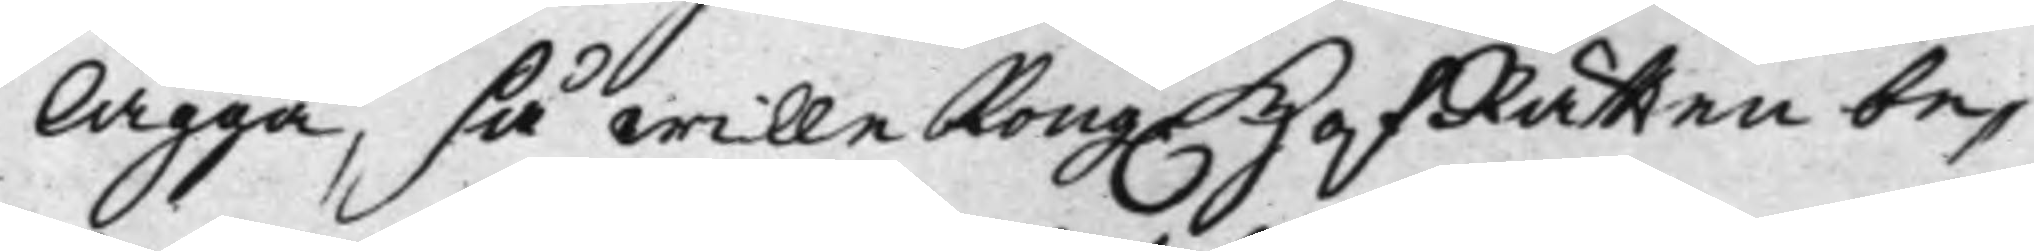lägga, så wille Kong. HofRätten be¬
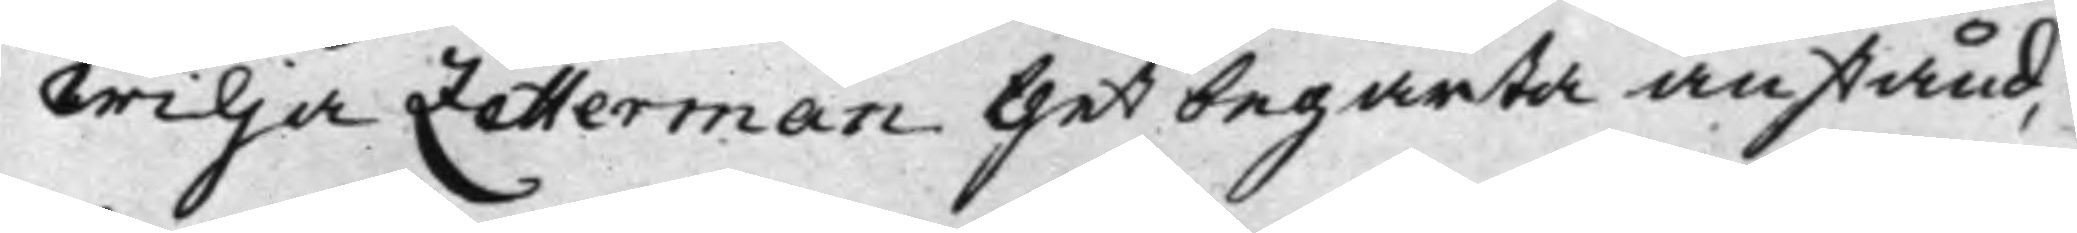wilja Zetterman thet begärta anstånd,
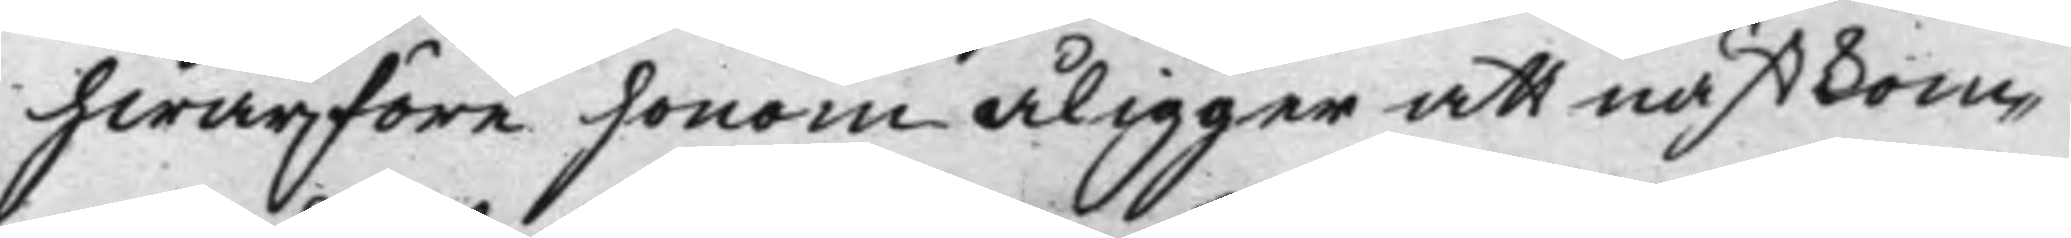hwarföre honom åligger att nästkom¬
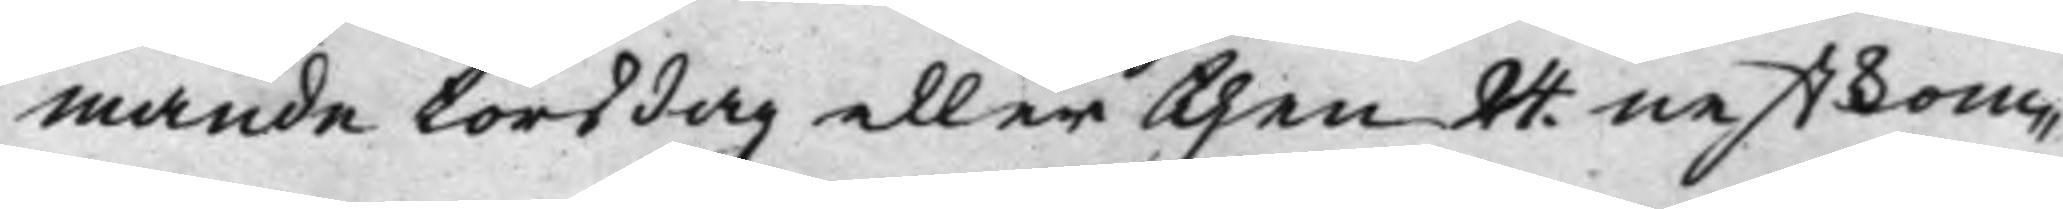mande torsdag eller then 24. nestkom¬
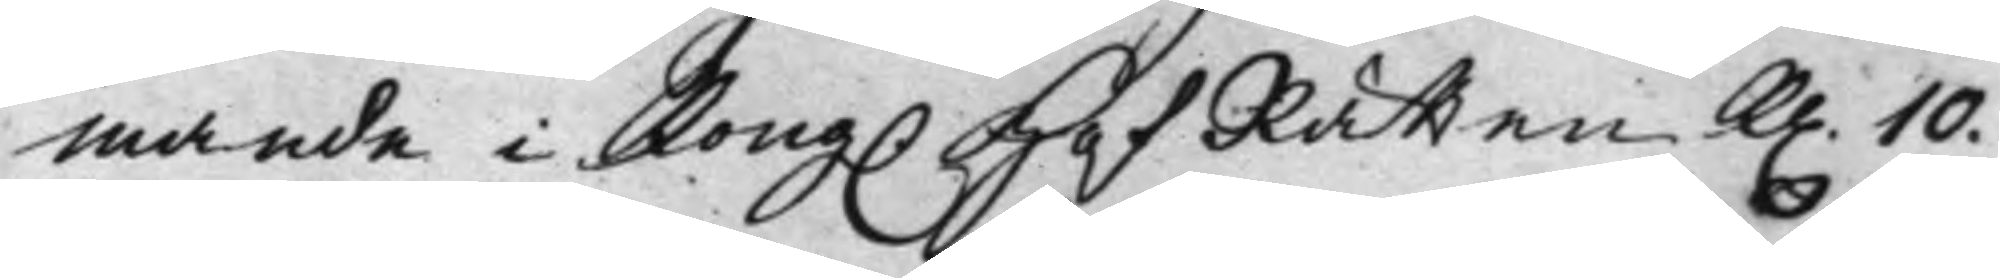mande i Kong. HofRätten K. 10.
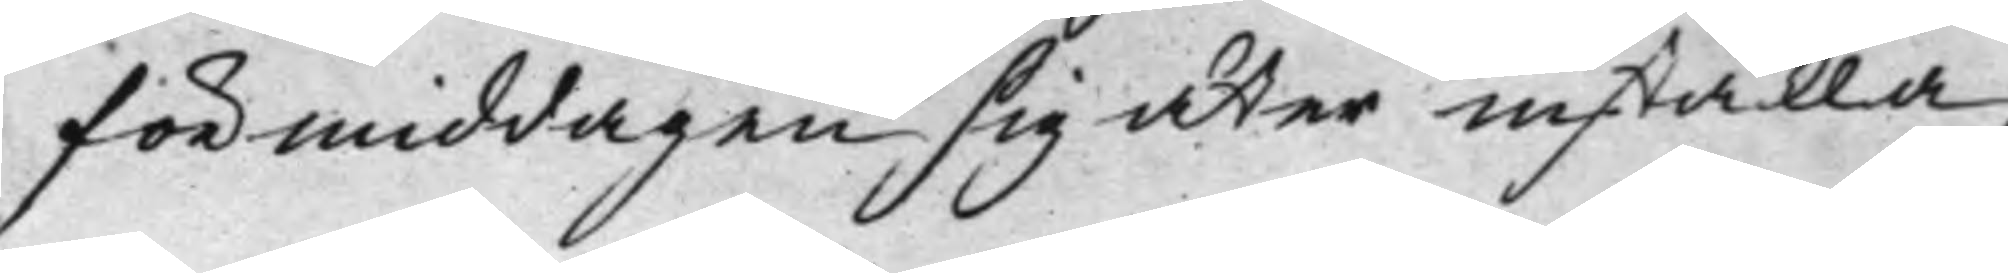förmiddagen sig åter inställa,
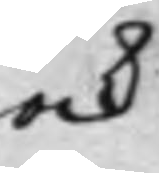ock
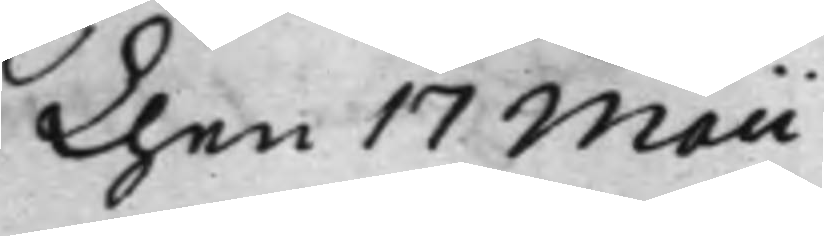Then 17 Maii
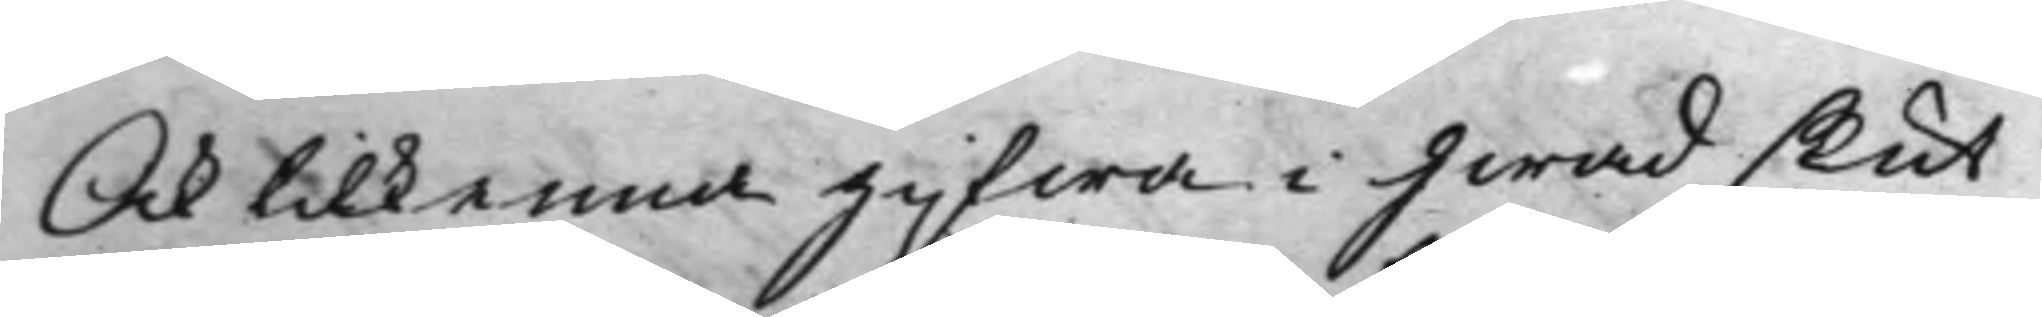Och tilkenna gifwa i hwad slut
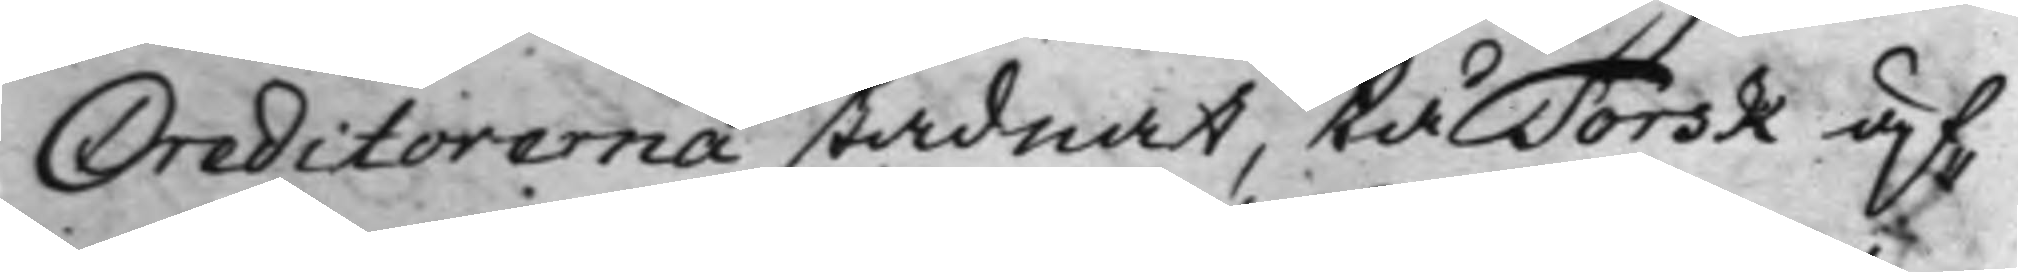Creditorerna stadnat, tå Torsk äf¬
